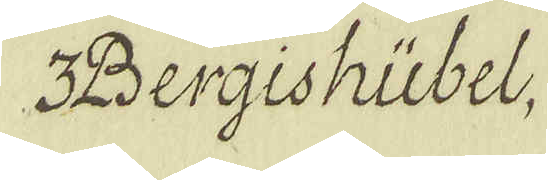3 Bergishübel,
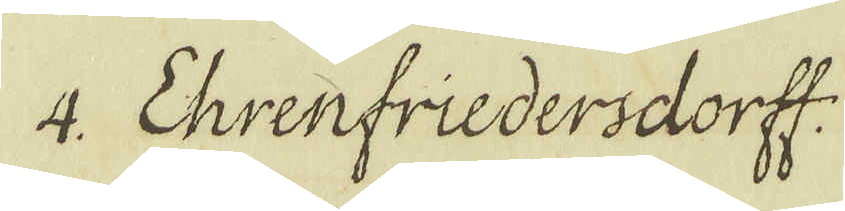4. Ehrenfriedersdorff
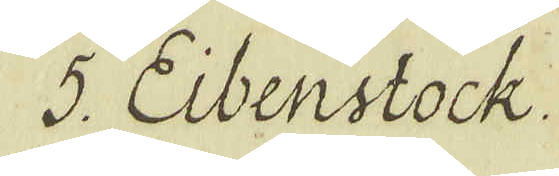5. Eibenstock.
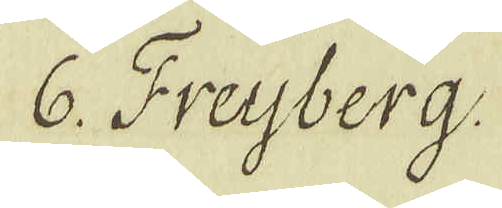6. Freyberg.
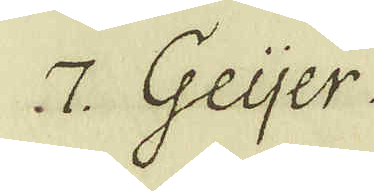7 Geyer.
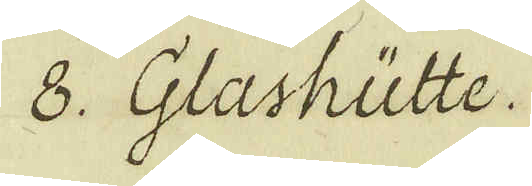6. Glashütte.
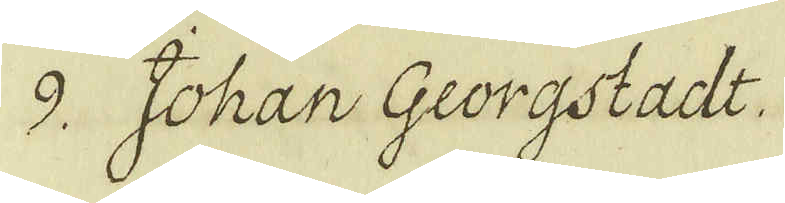9. Johan Georgstadt.
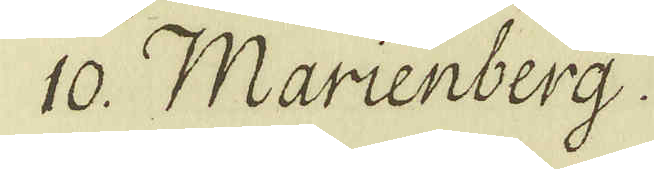10. Marienberg.
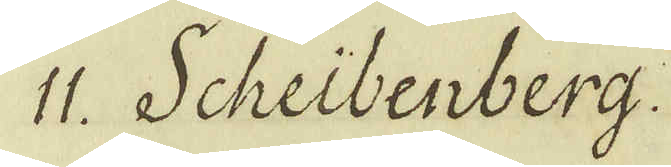11. Scheibenberg.
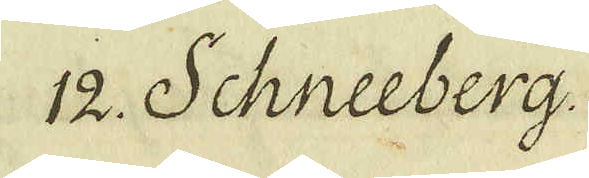12. Schneeberg.
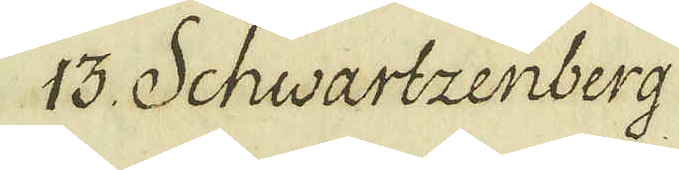13. Schwartzenberg
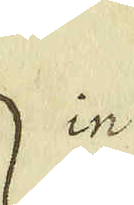in
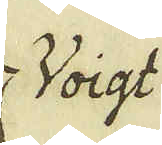Voigt
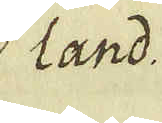land
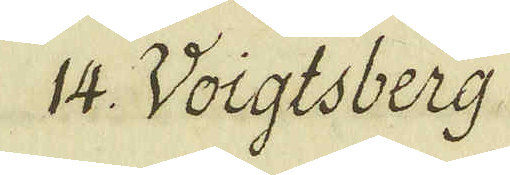14. Voigtsberg
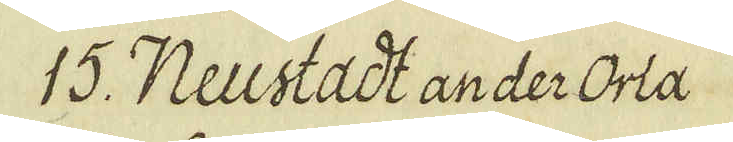15. Neustadt an der Orla
